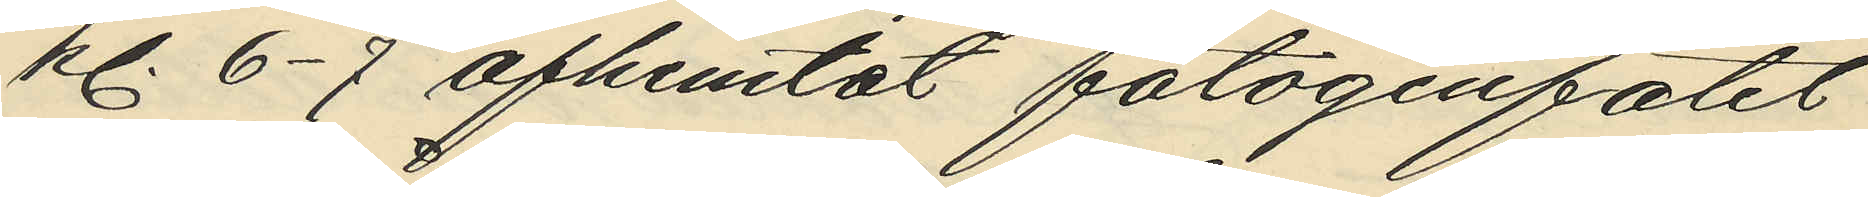kl. 6-7 afhemtat fotogenfatet
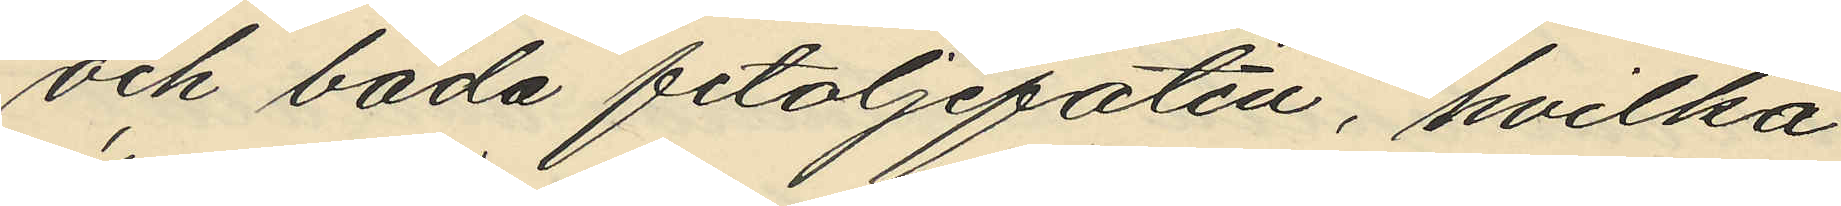och båda fetoljefaten, hvilka
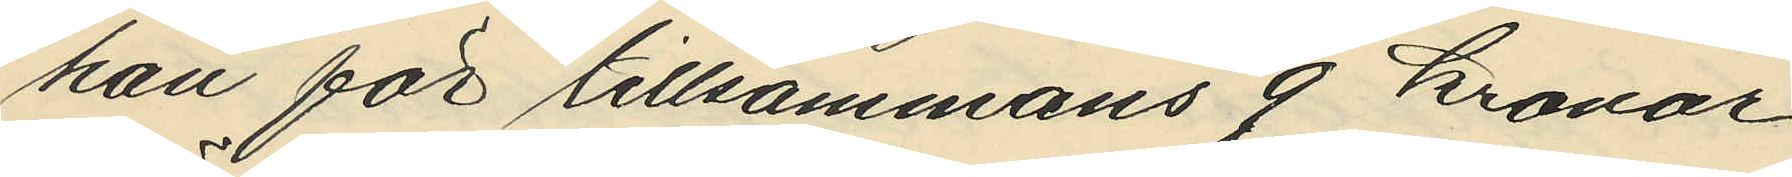han för tillsammans 9 kronor
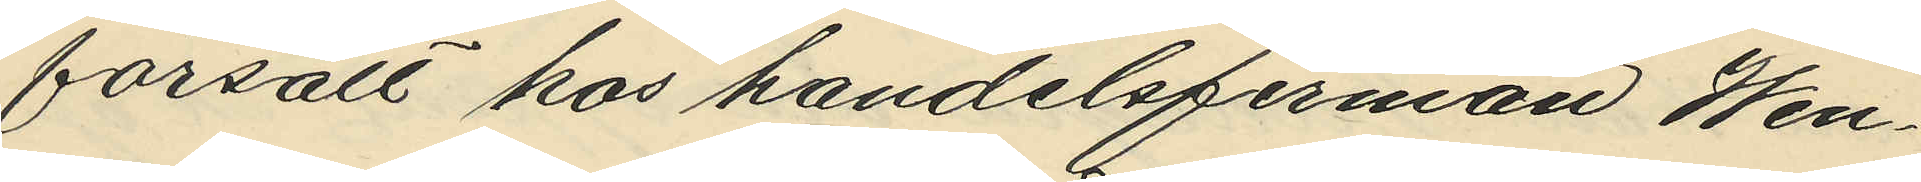försålt hos handelsfirman Wen¬
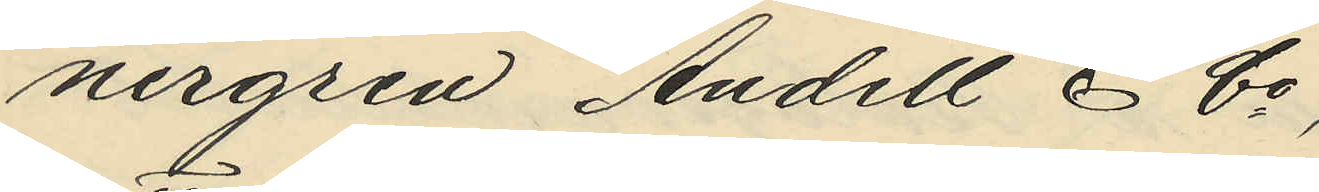nergren Andell & Co,
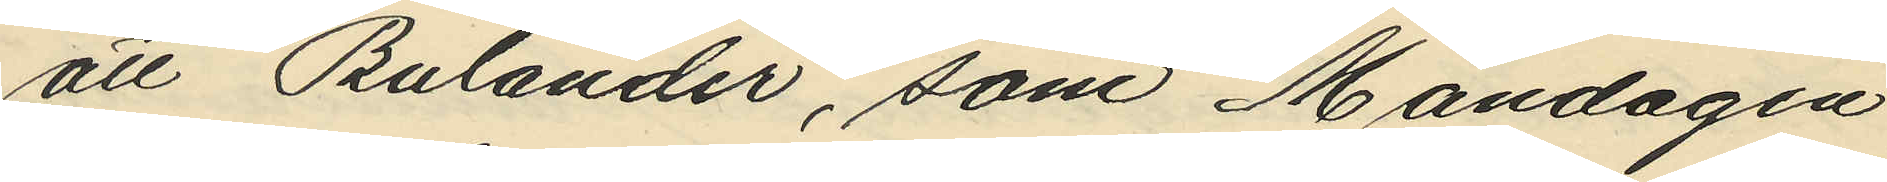att Bulander, som Måndagen
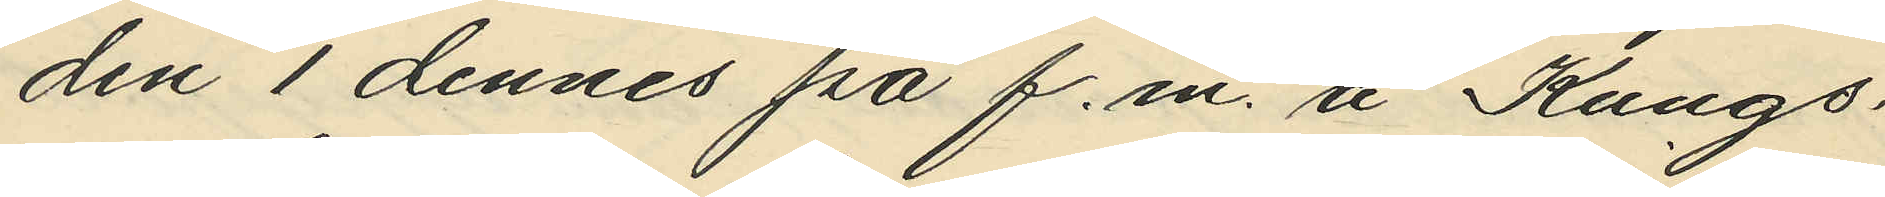den 1 dennes på f.m. å Kungs¬
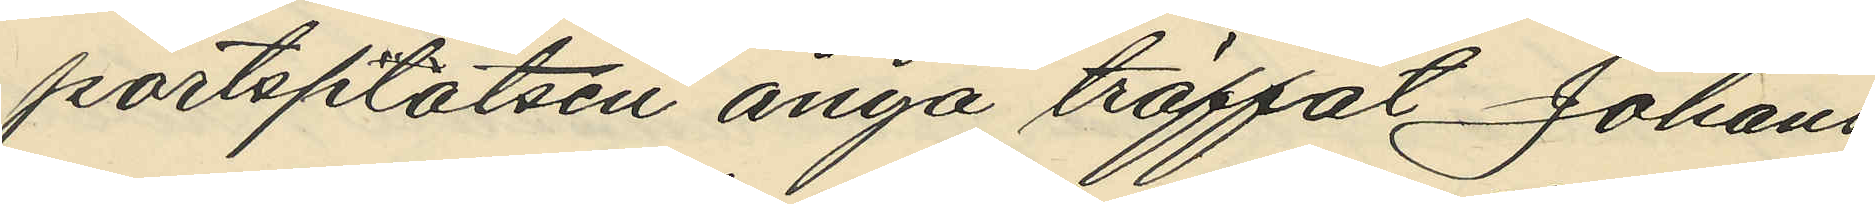portsplatsen ånyo träffat Johans¬
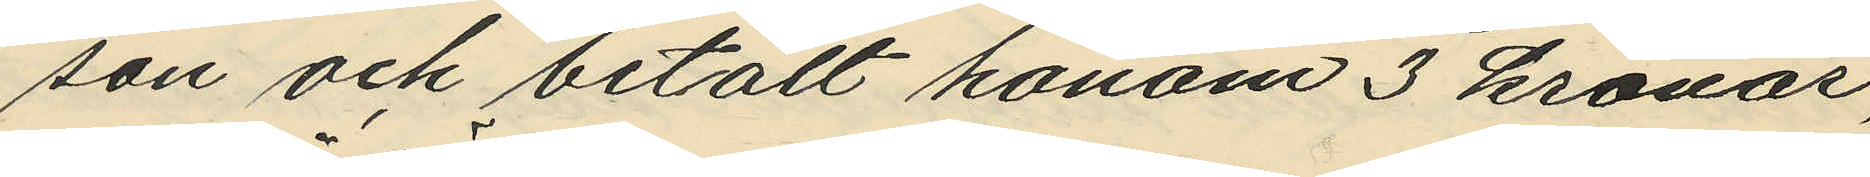son och betalt honom 3 kronor,
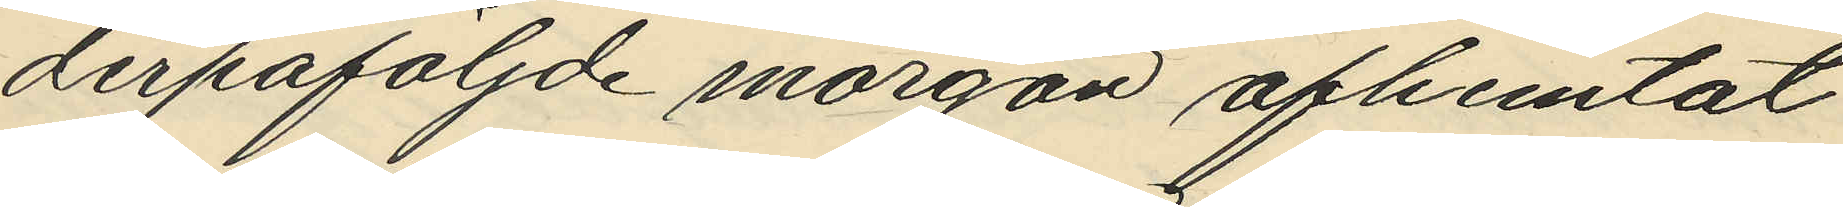derpåföljde morgon afhemtat
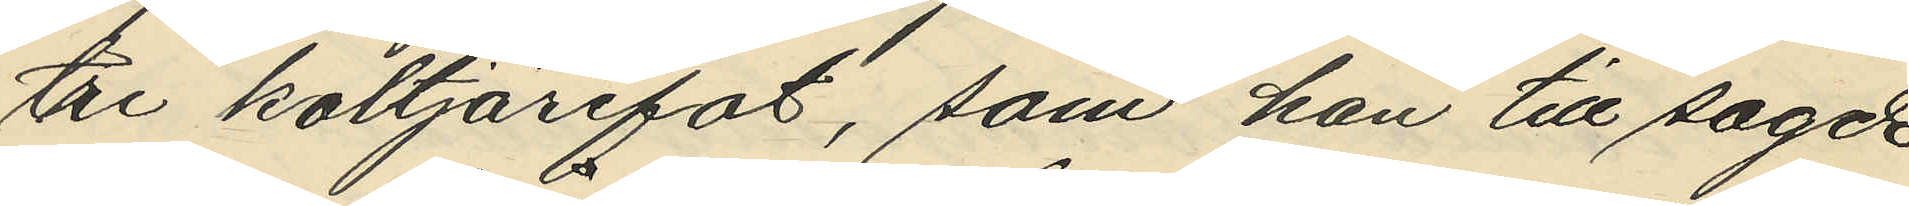tre koltjärefat, som han till sagde
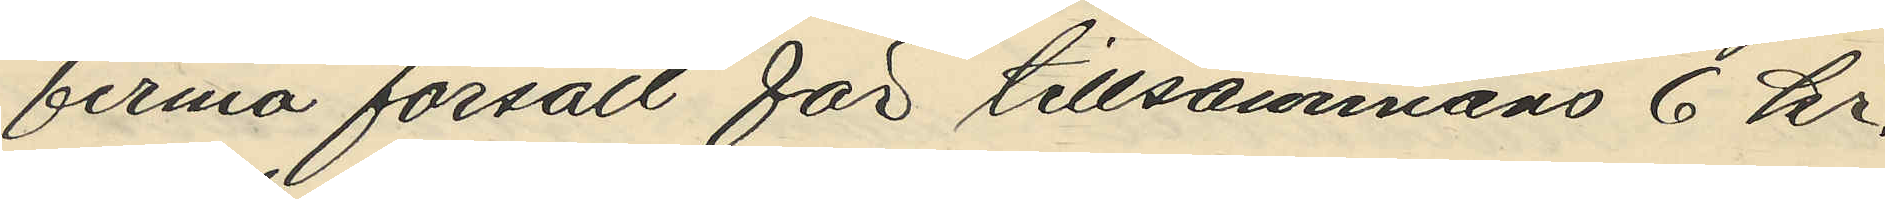firma försålt för tillsammans 6 kr,
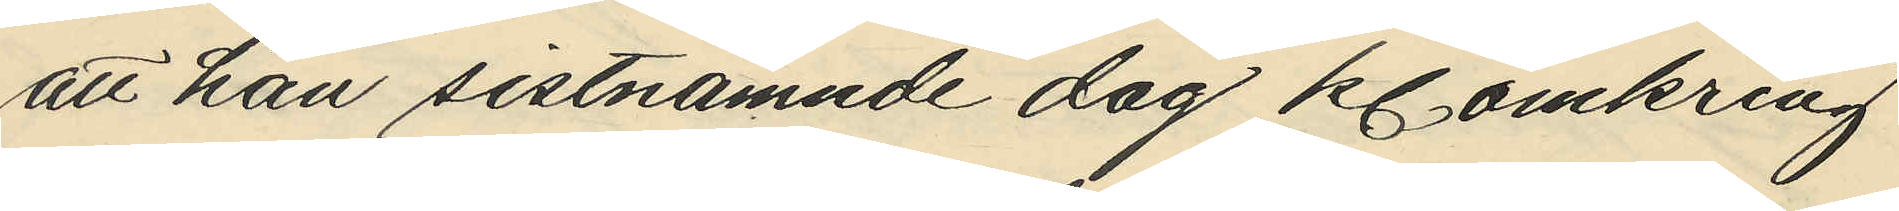att han sistnämnde dag kl. omkring
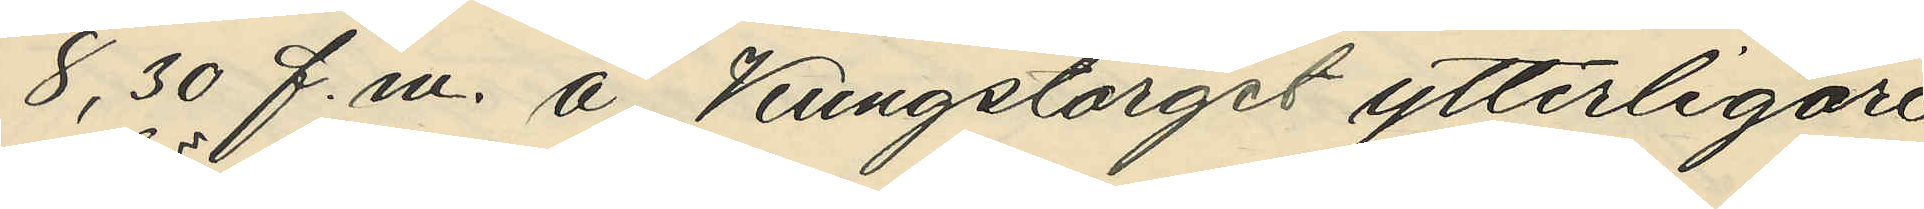8,30 f.m. å Kungstorget ytterligare
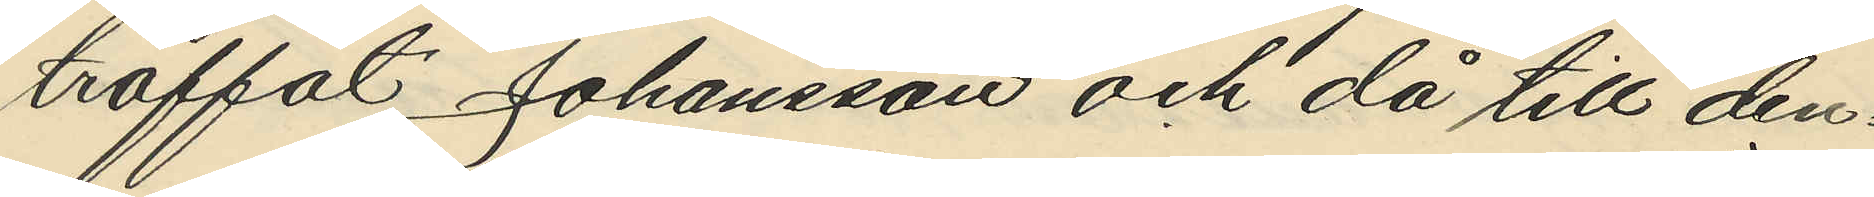träffat Johansson och då till den¬
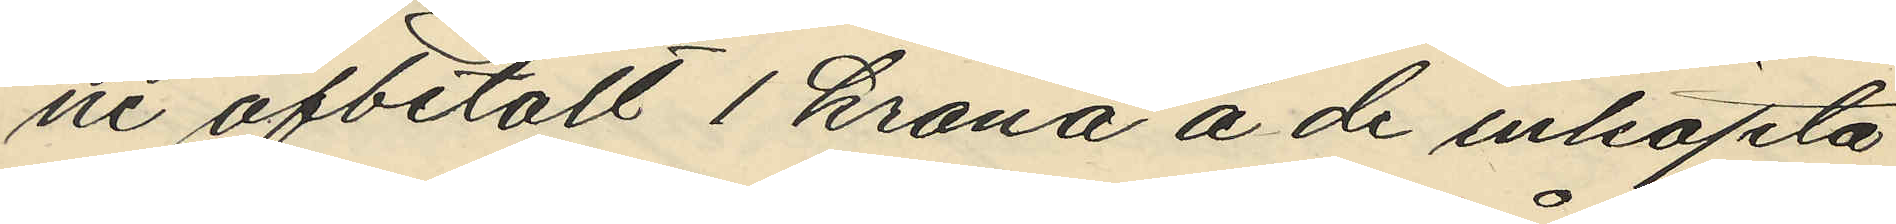ne afbetalt 1 krona å de inköpta
